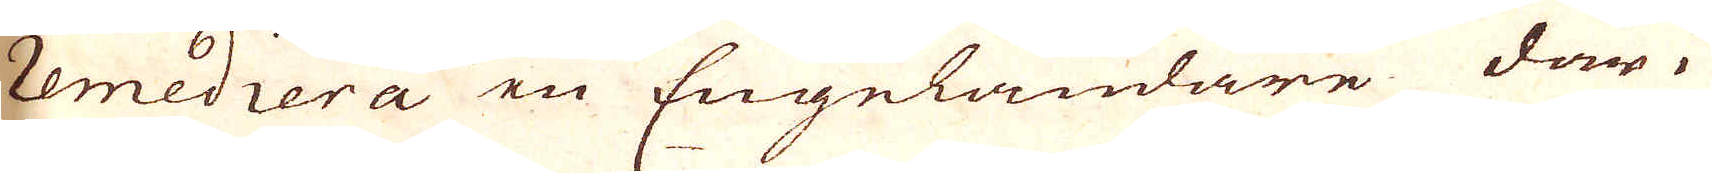remediera en Engeländare där i
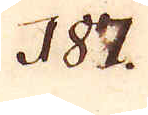187.
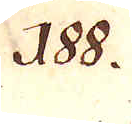188.
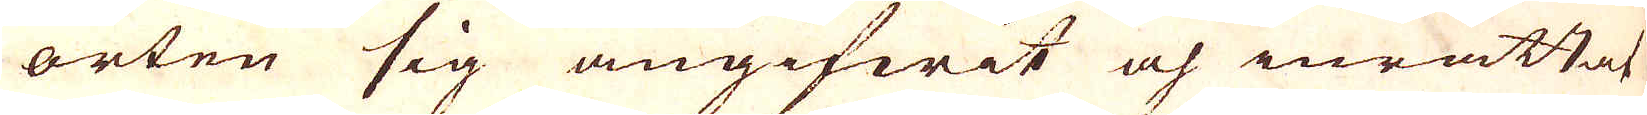orten sig angifwit och inrättat
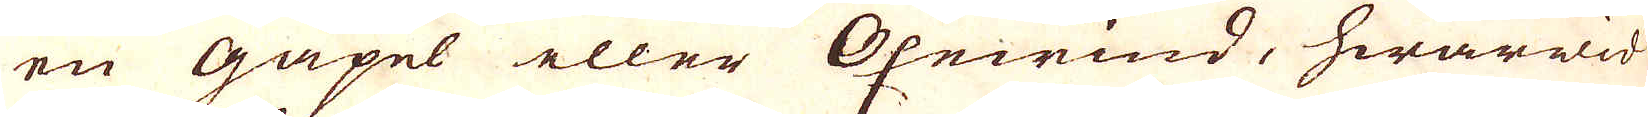en gäpel eller Oxewind, hwarwid
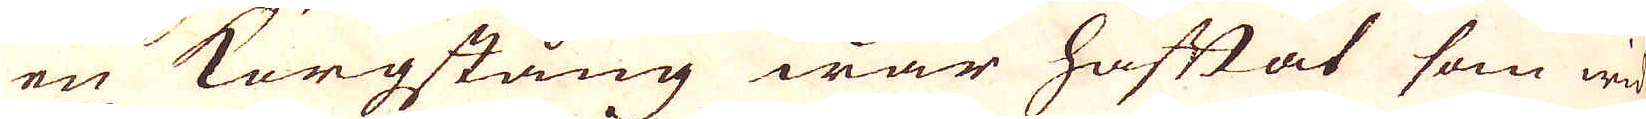en Korgstång war häftat som wid
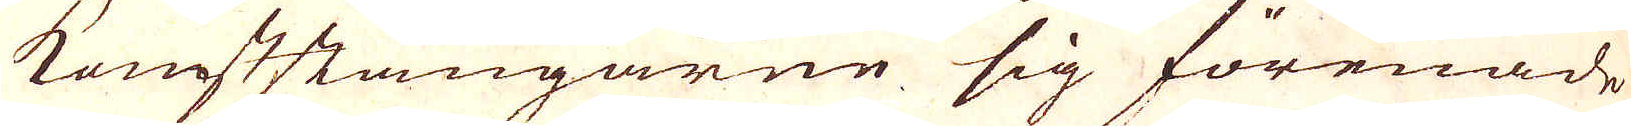konststängarne sig förenade
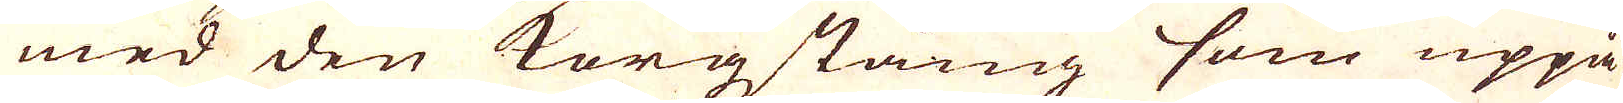med den korgstång som uppå
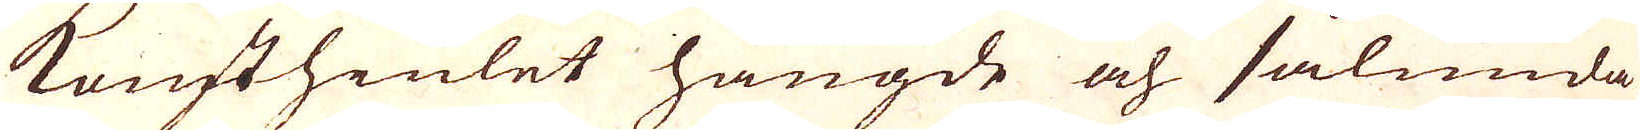konsthiulet hängde och sålunda
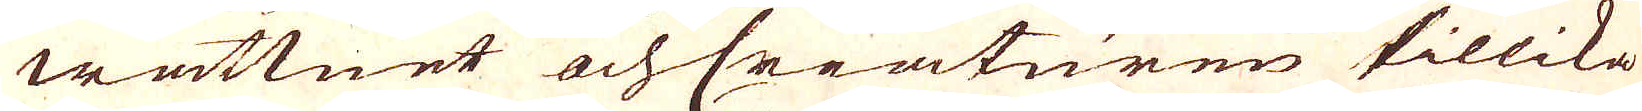wattnet och Creaturen tillika
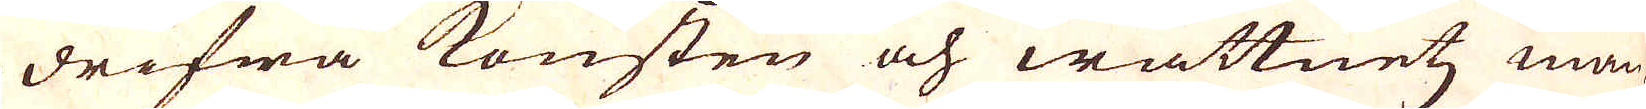drifwa konsten och wattnetz man-
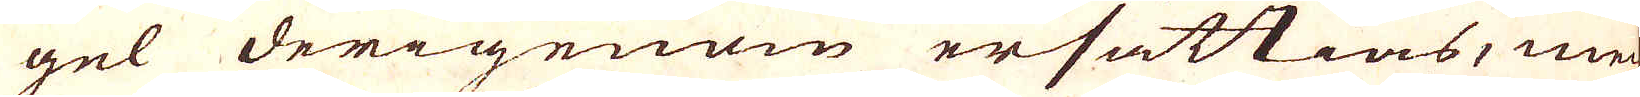gel derigenom ersättias, men
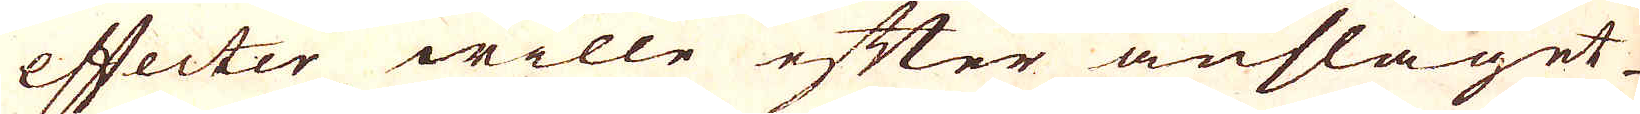effecter wille efter anslaget
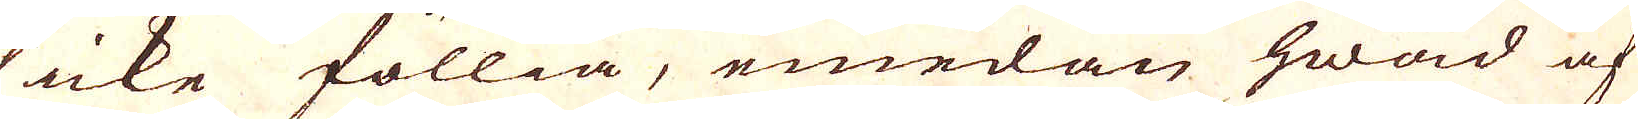icke föllia, emedan hwad af
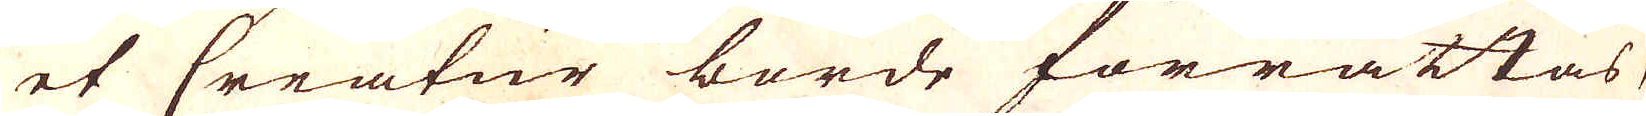et Creatur borde förrättas,
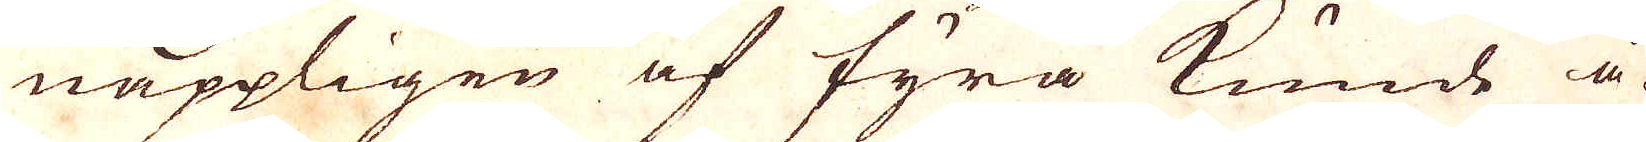näppligen af fyra kunde å-
